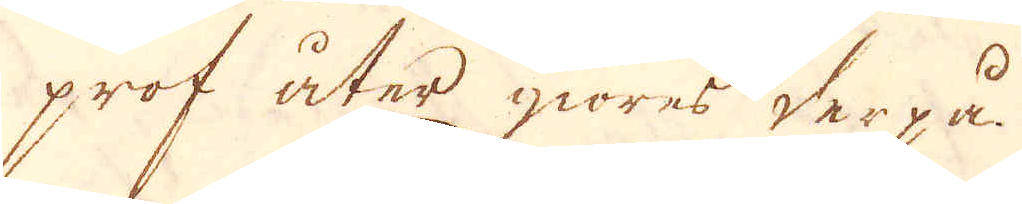prof åter giöres derpå.
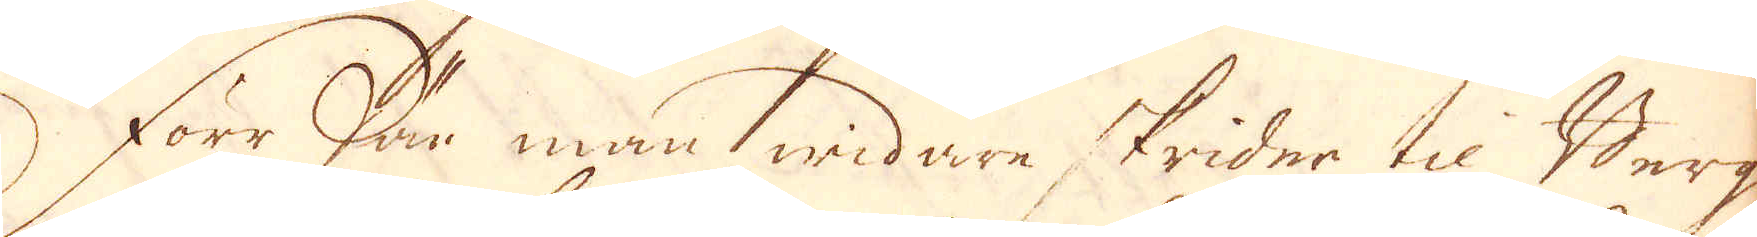Förr när man widare skrider til Berg
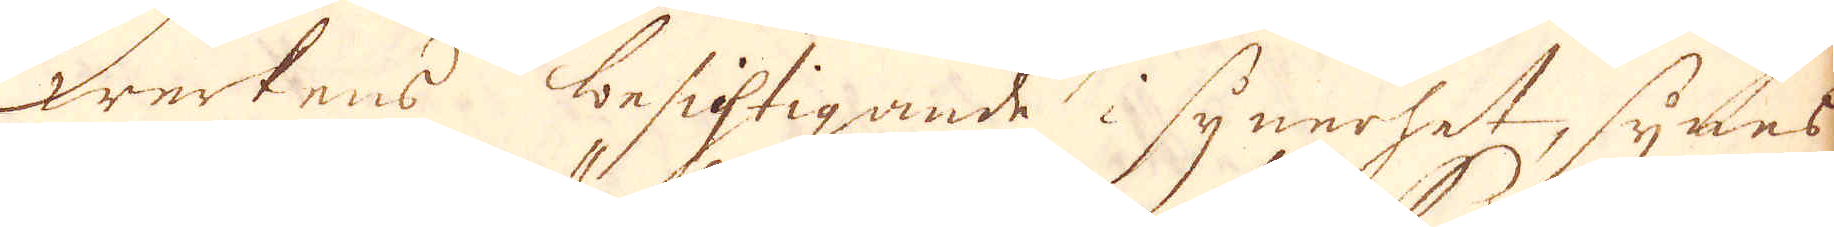werkens Besigtigande i synnerhet, synes
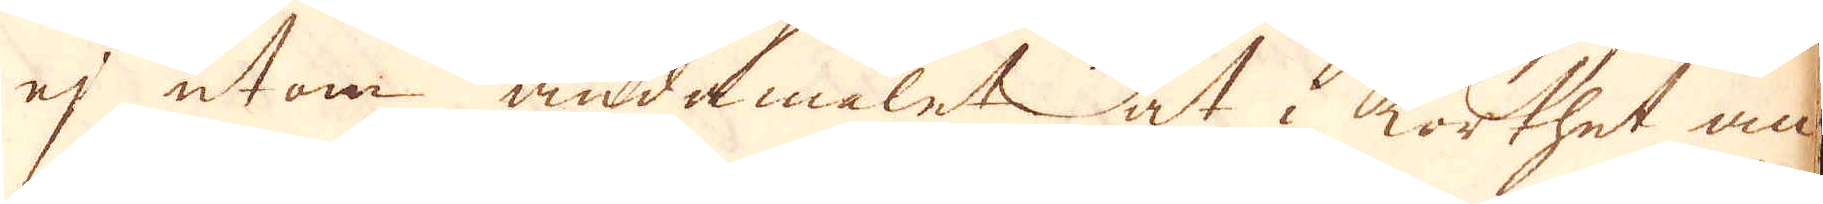ej utan ändamålet at i korthet an-
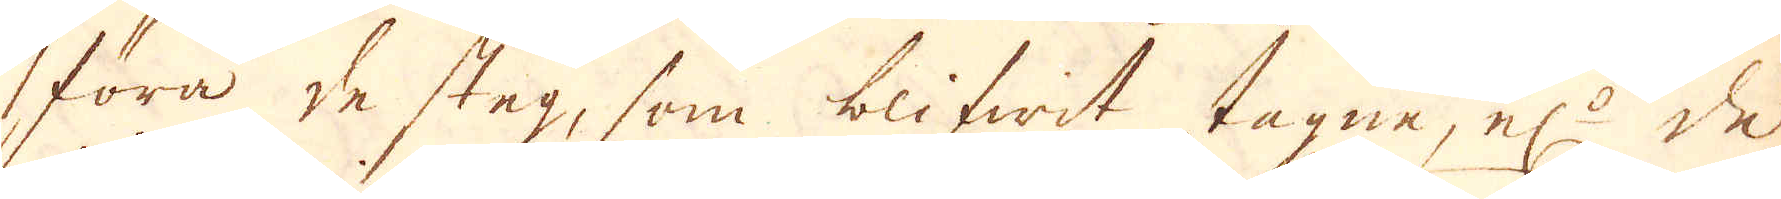föra de steg, som blifwit tagne, el:r de
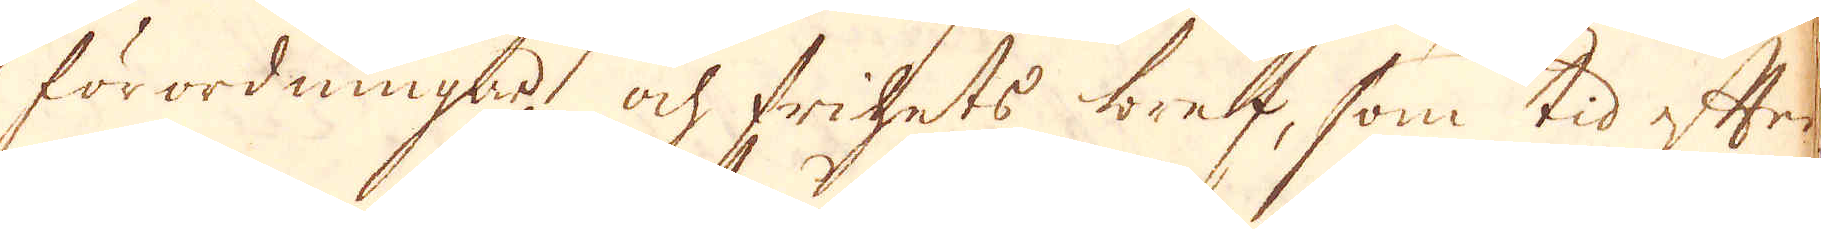förordningar och frihets bref, som tid efter
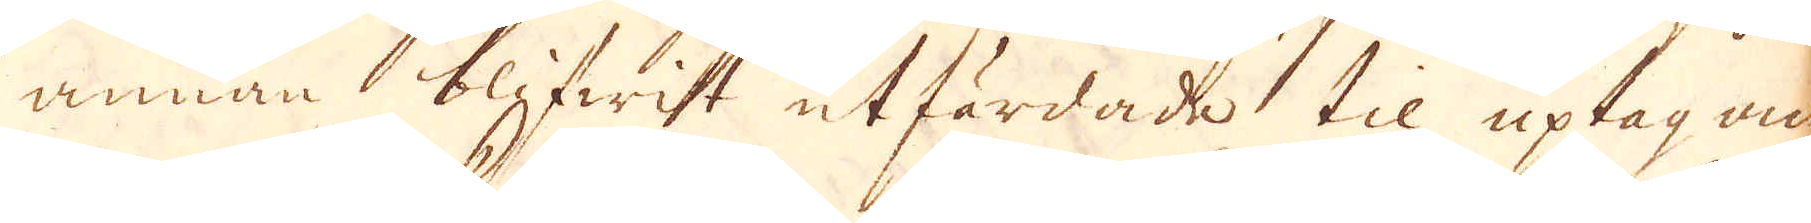annan blifwitt utfärdade til uptagan
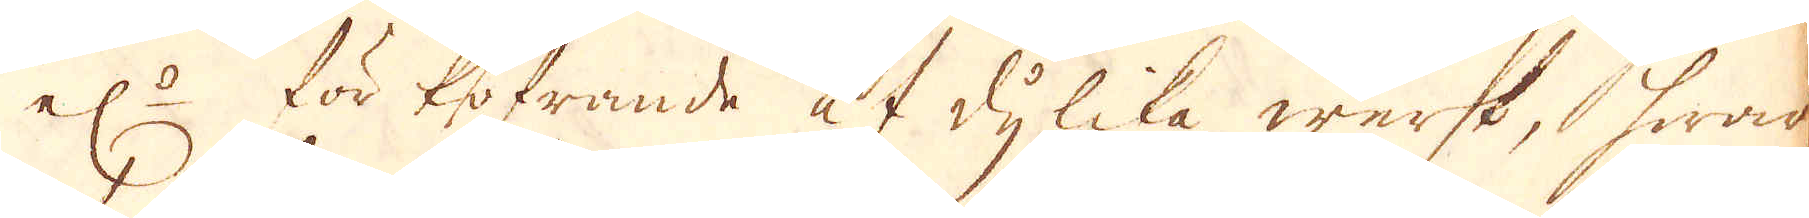el:r för kofrande af dylika werk, hwad
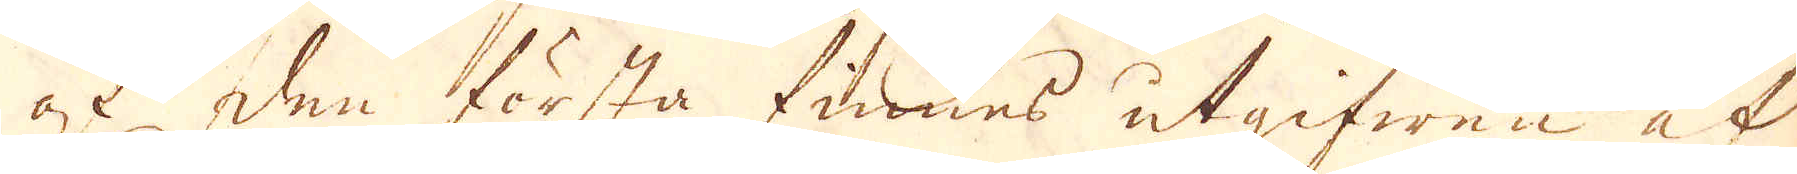af den första finnes utgifwen at
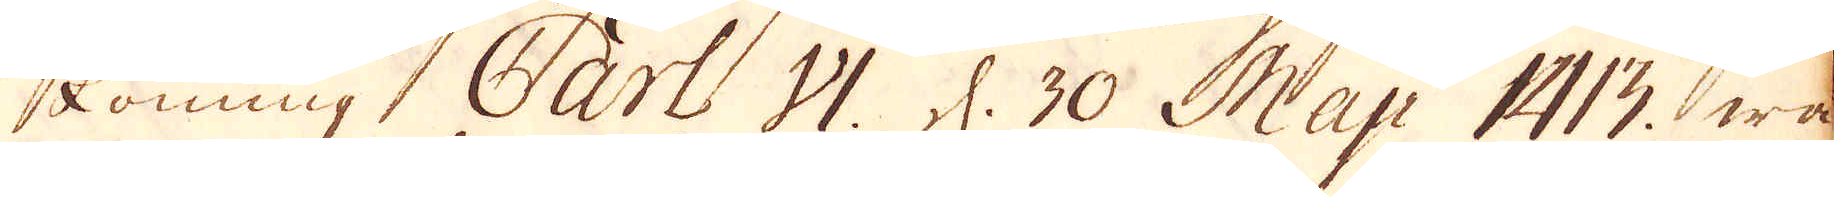Konung. Carl VI. d. 30 Maji 1413 wa-
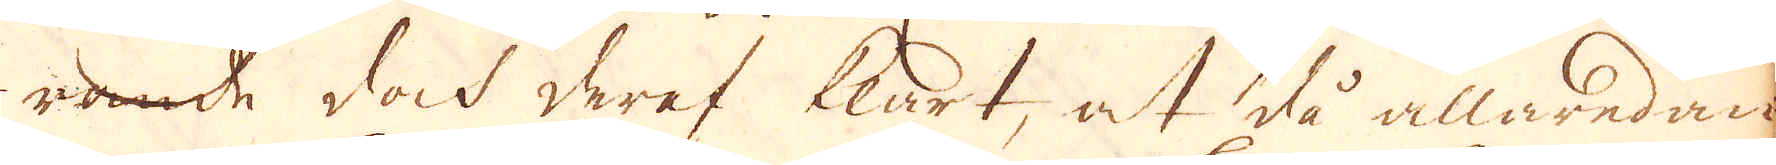rade dock deraf klart, at slå allaredan
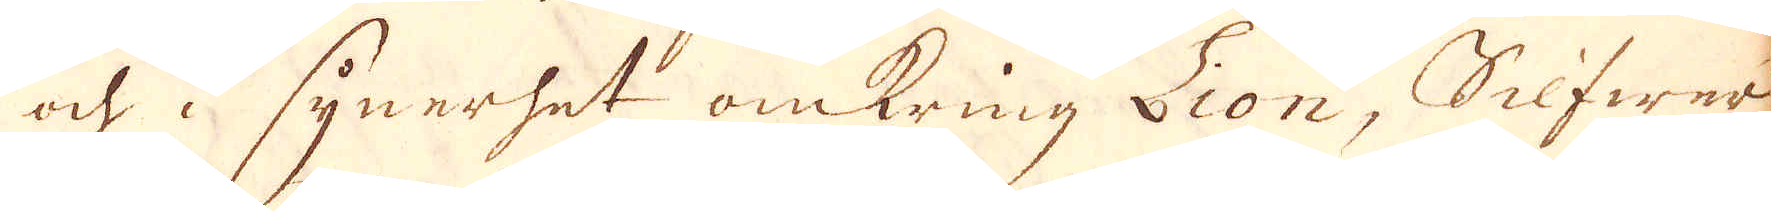och i synerhet omkring Lion, Silfwer,
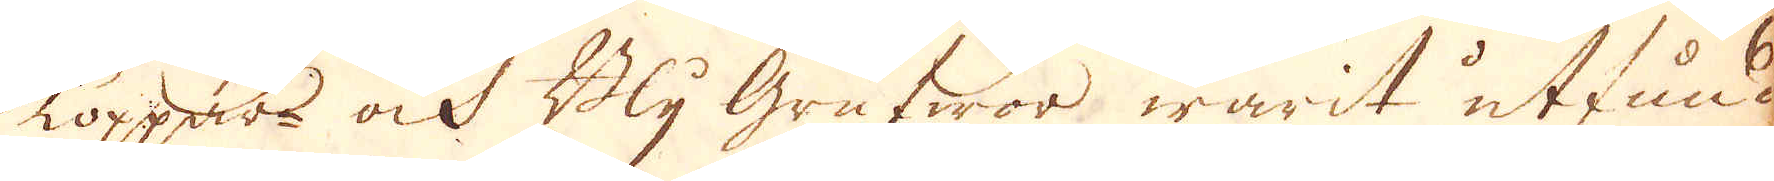Koppar ock Bly Grufwor warit utfund-
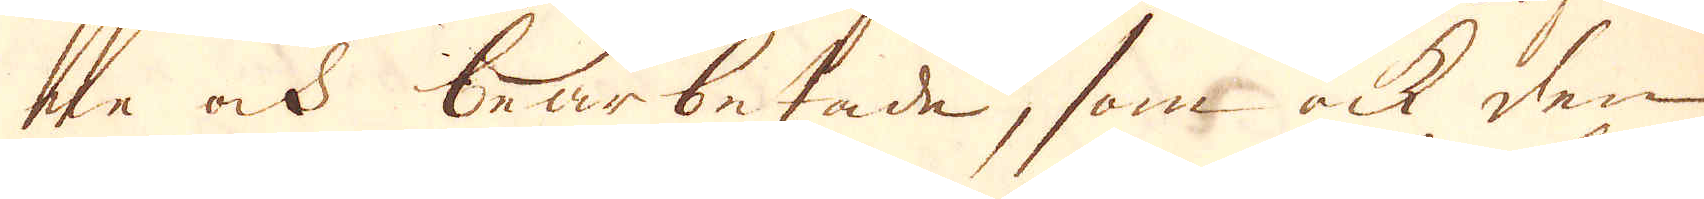ne ock bearbetade, som ock den
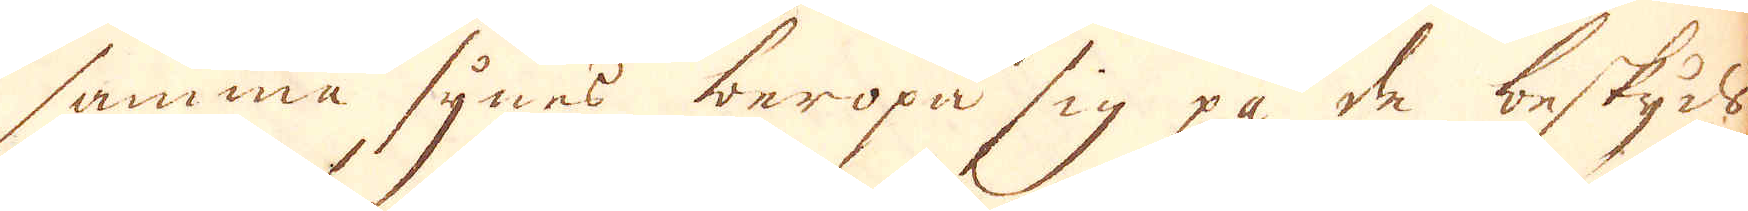samma synes beropa sig på de beskyds-
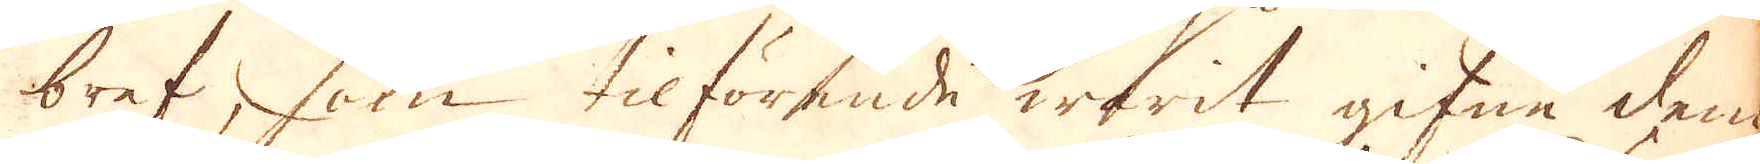bref, som tilförende warit gifne dem
